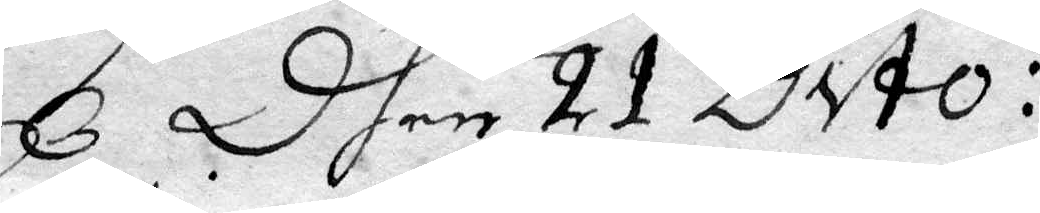Dhen 21 Dito:
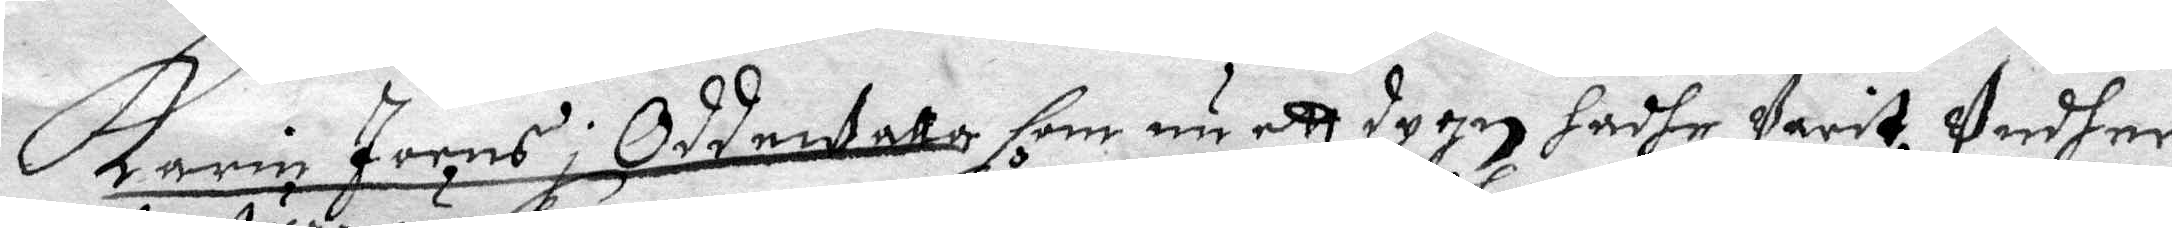karin Joens i Oddewalla som nu ett dygn hadhe Varit Under
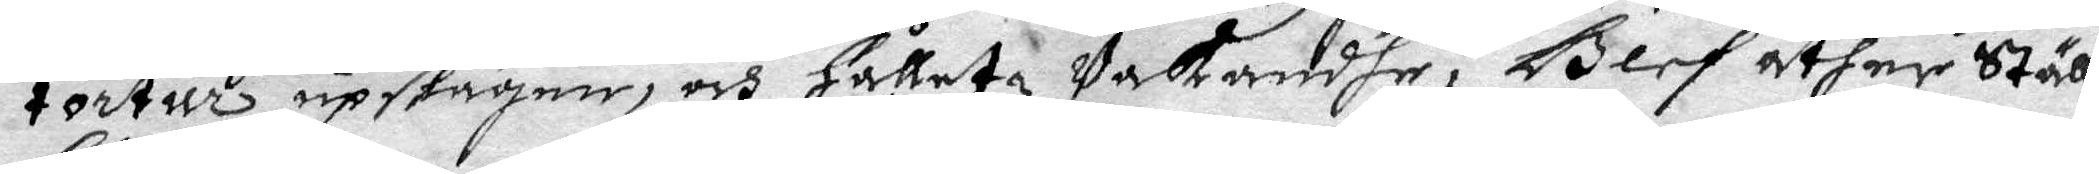tortur upskäger, och hålletz Vakandhe, Blef åther Ställt
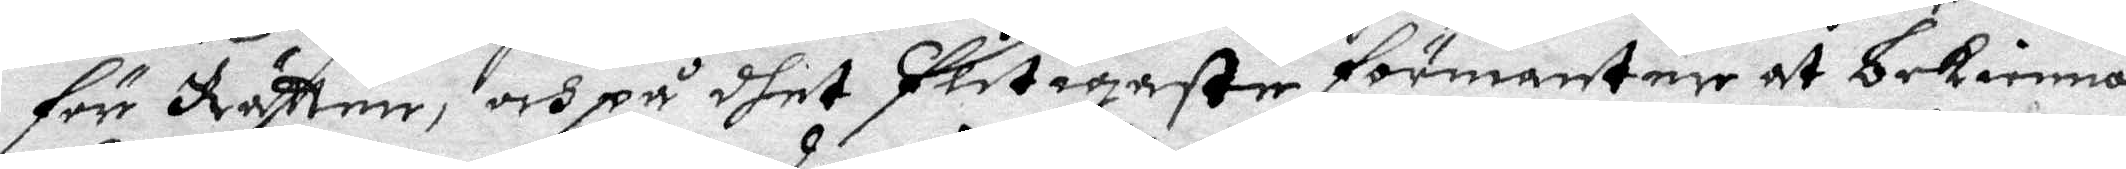för Rätten, och på dhet flitigaste förmanter at bekienna
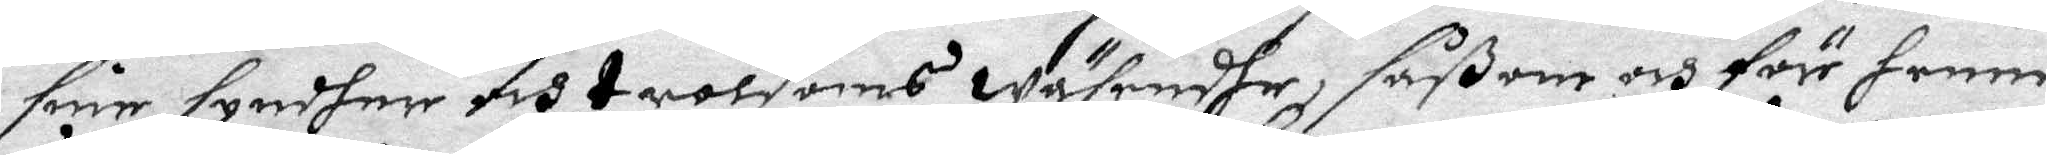sine syndher och troldoms wäsendhe, såßom och för henne
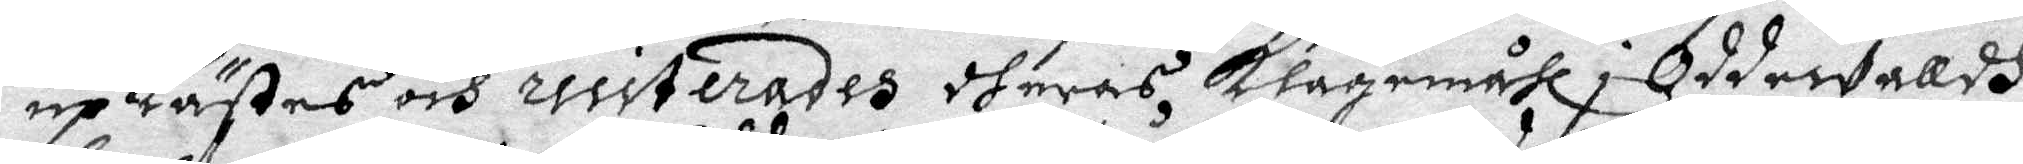uplästes och ressiterades dheras Klagomåhl i Oddewalldh,
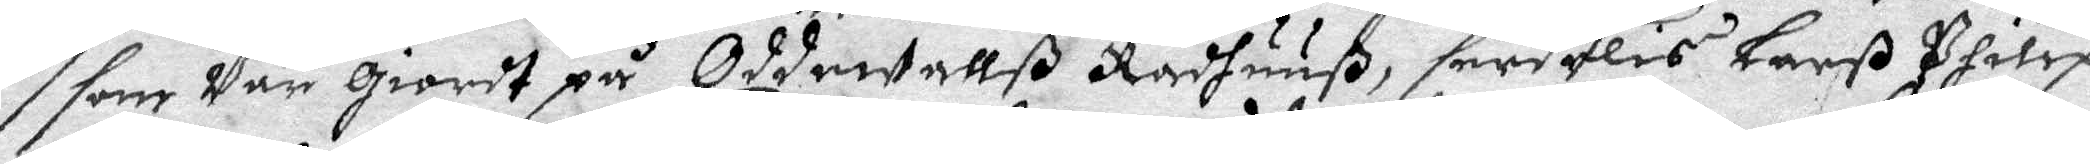som var giordt på Oddewallß Rådhuuß, serdelis Larß Philip¬
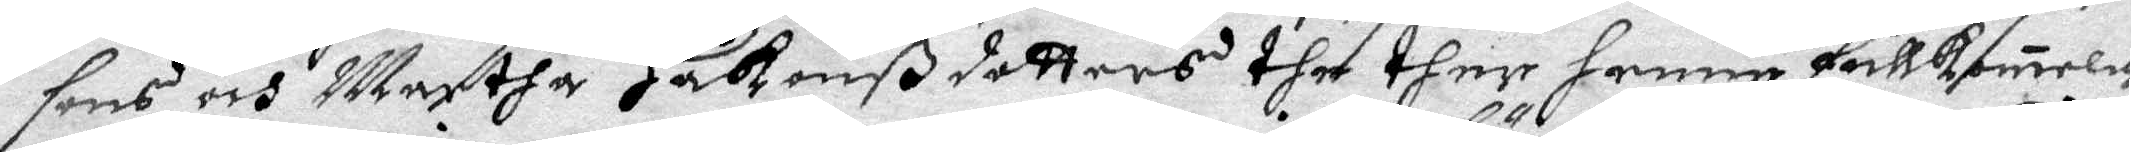sons och Martha Håkanßdotters the ther henne fullkomligh
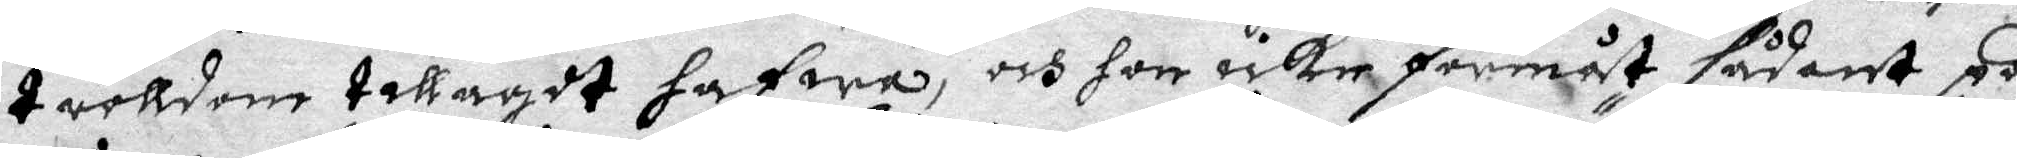trolldom tillagdt hafwa, och hon icke förmåt sådant på
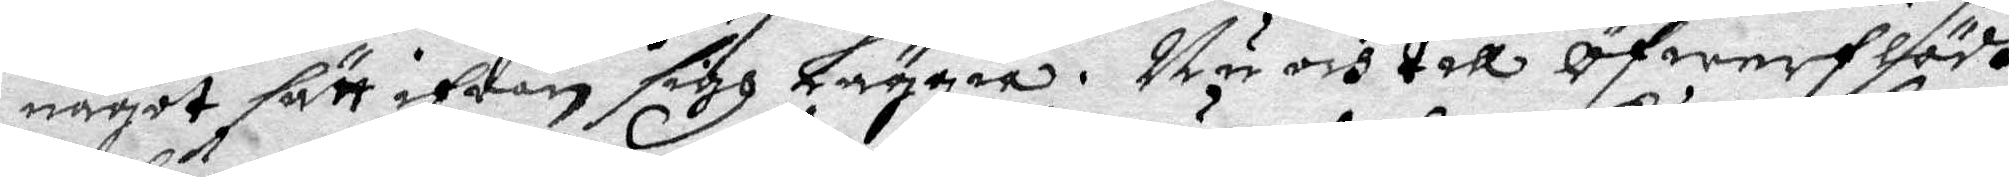något sätt ifrån sigh läggia. Nu och till öfwerflödh
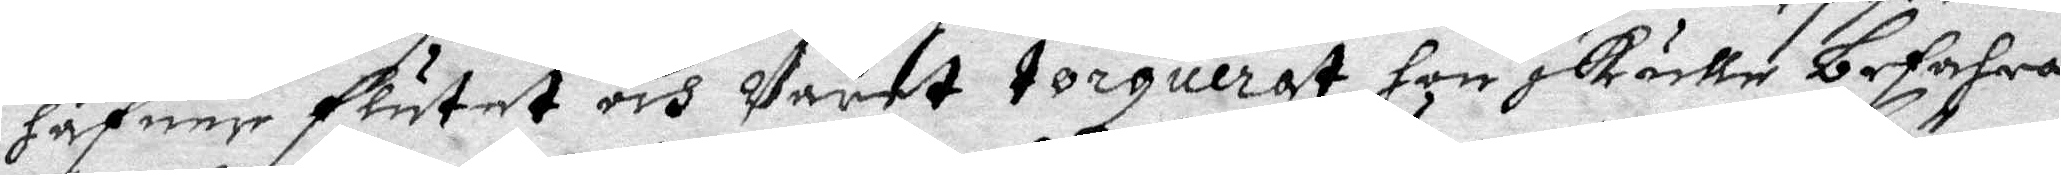hafuer flutet och Vardt torquerat hon skulle behafva
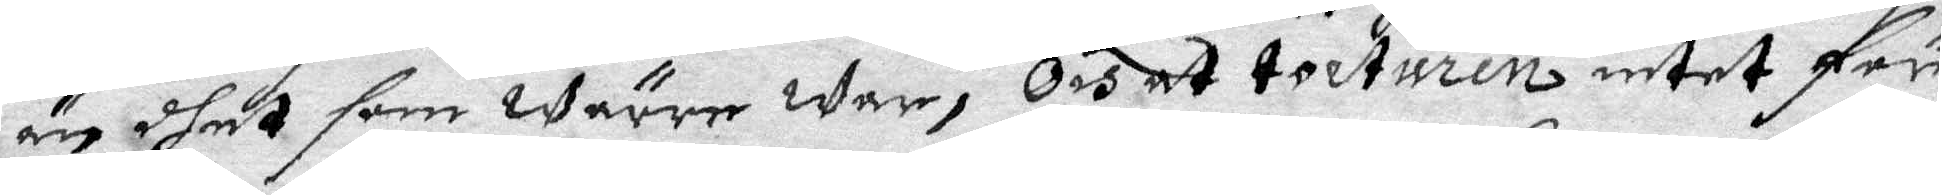än dhet som Wärre War, och at torturen intet för
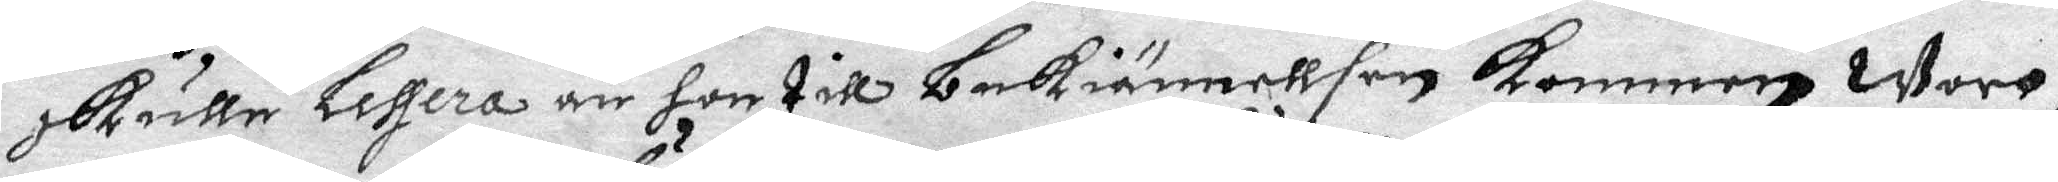skulle lessera än hon till bekiännellsen kommen Wore,
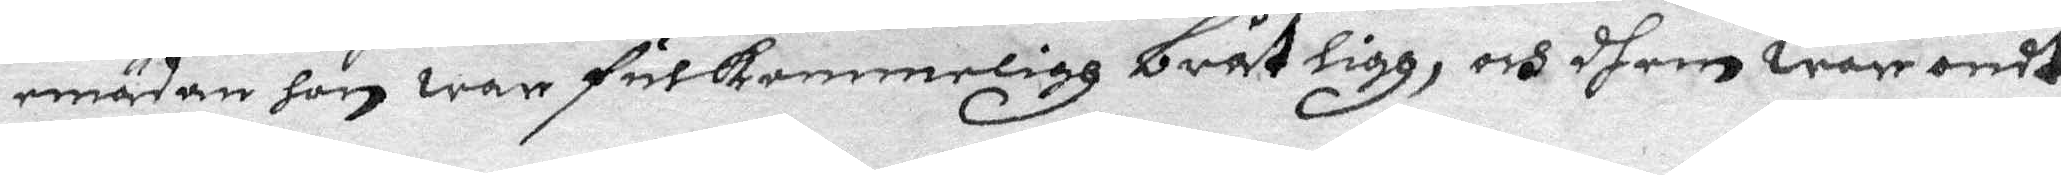mädan hon war fulkommeligh bråtligg, och dhem war ondt
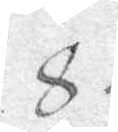8
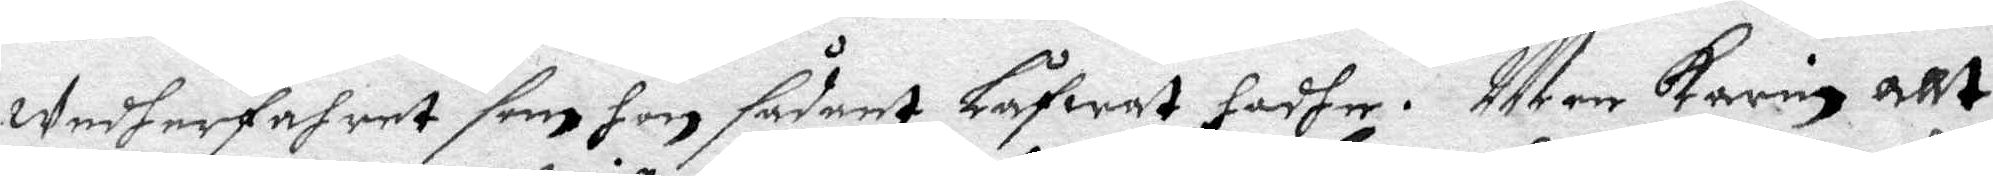wedherfahret som hon sådant Låfwat hadhe. Men Karin allt
